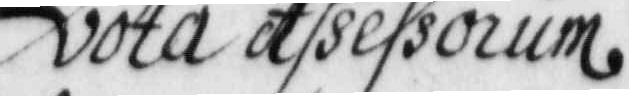vota Assessorium
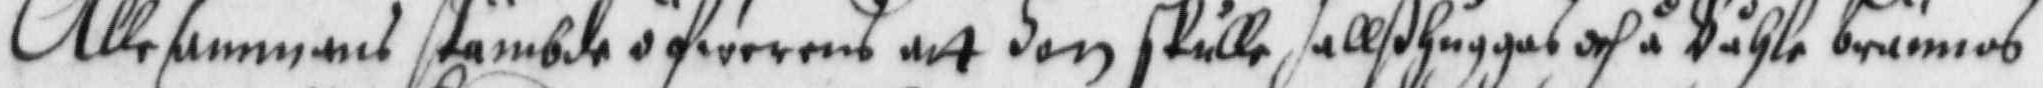Alltsammans stämbde öfwernes att on skulle hallßhuggas och å Båhle brännas
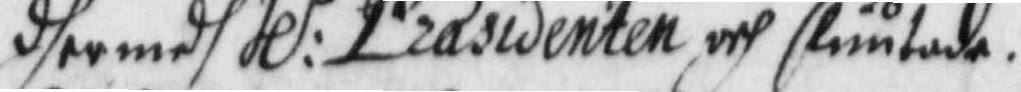dhermedh Hl:r Præsidenten och slutade.
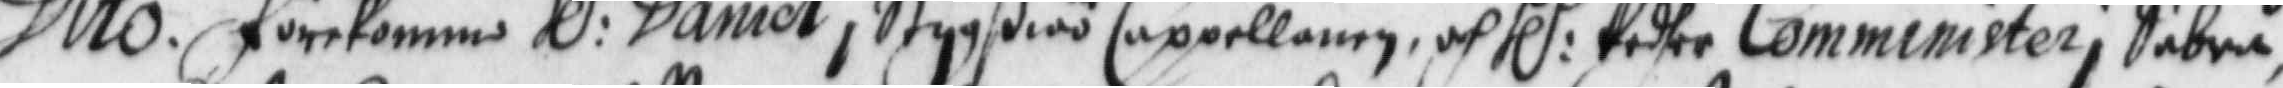Dito. förekommo Hl:r Daniel i Stygßiöö Cappellanen, och Hl:r Pedher Comminister i Säbrå,
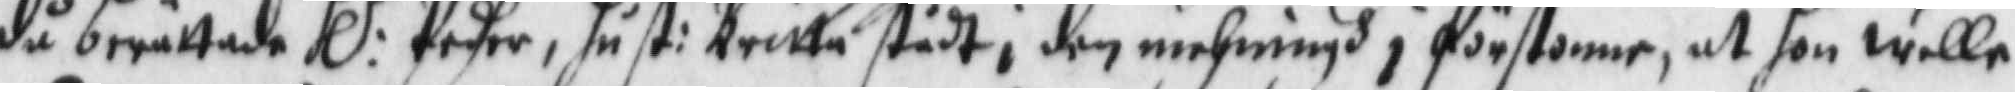då berättade Hl:r Pedher, hust: Britta stådt i den mehningh i förstonne, at hon wella
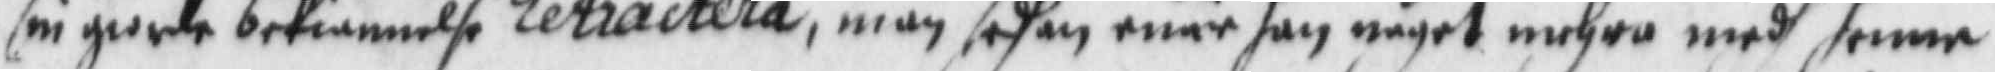sin giorde bekiännelse retractera, män sedhan enär han något mehra medh henne 
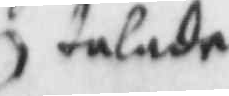talade
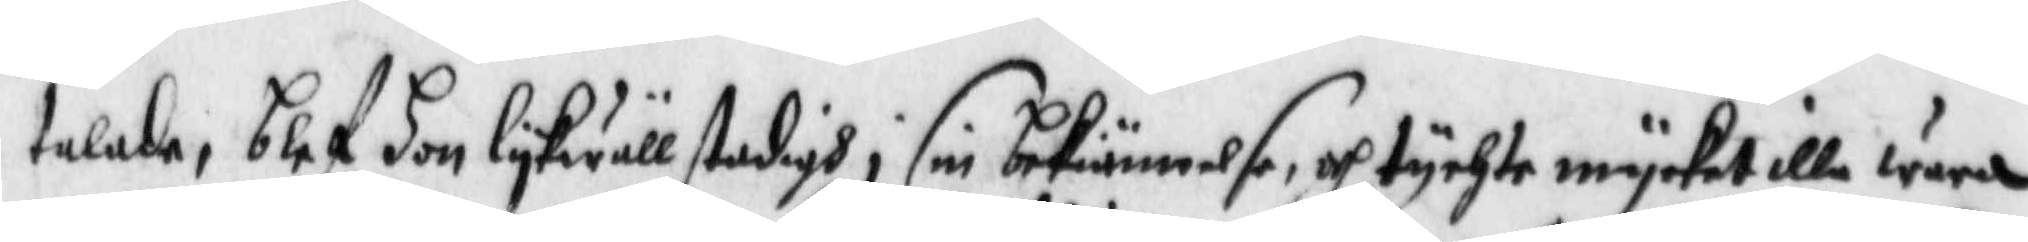talade, blef hon lykwäll stadigh i sin bekiännelse, och tychte mycket illa wara
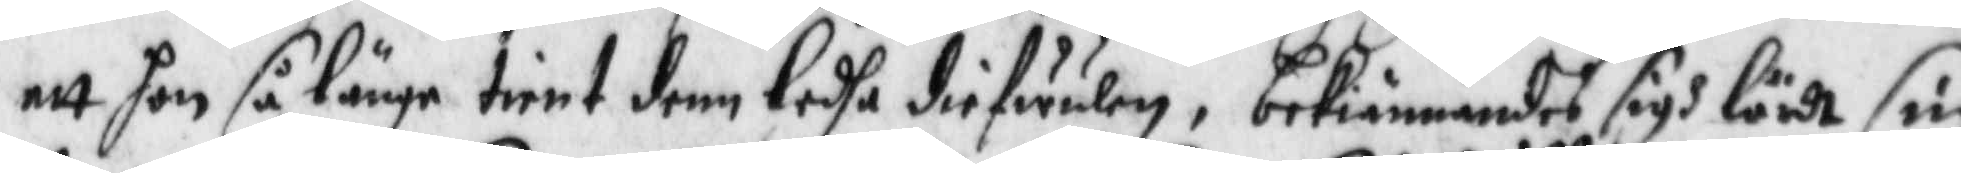att hon så länge tient denn ledhe diefwulen, bekiännandes sigh lärdt sin
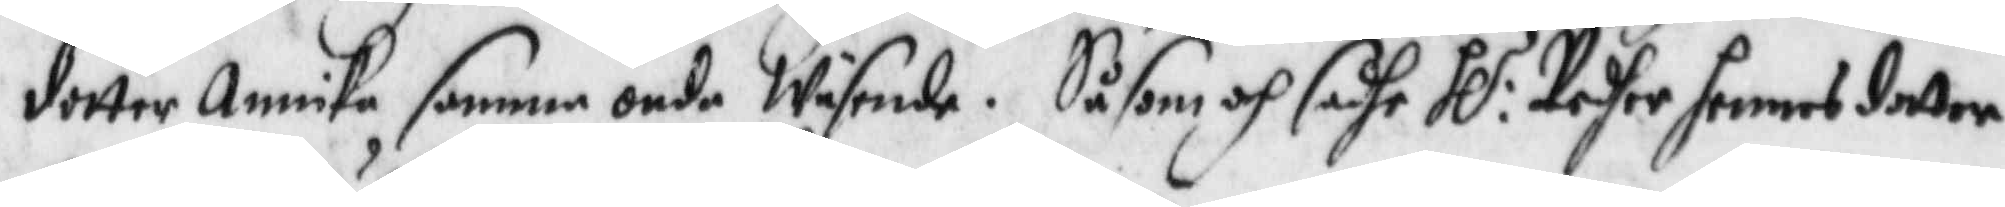dotter Annika samma onda Wäsende. Så som och sadhe Hl:r Pedher hennes dotter 
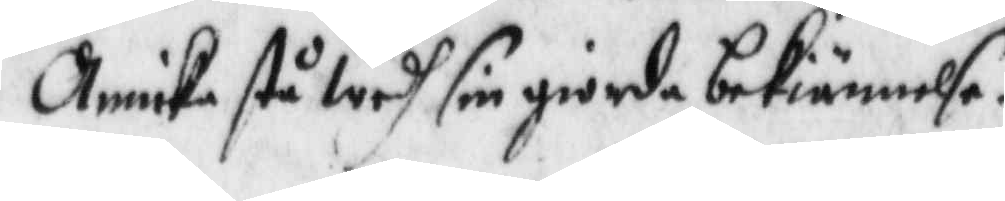Annika stå wedh sin giorda bekiännelse.
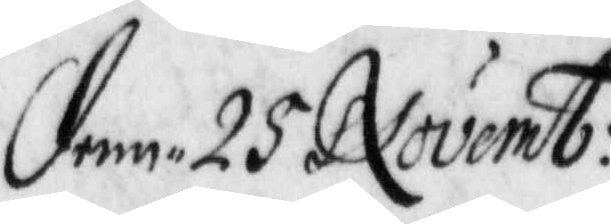denn 25 Novemb:
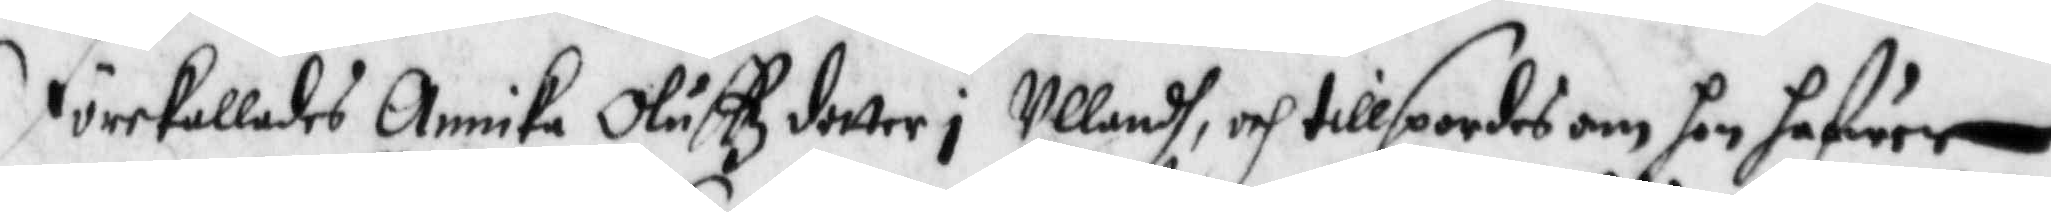Förekallades Annika Oluffzdotter i Ullandh, och tillspordes om hon hafwer
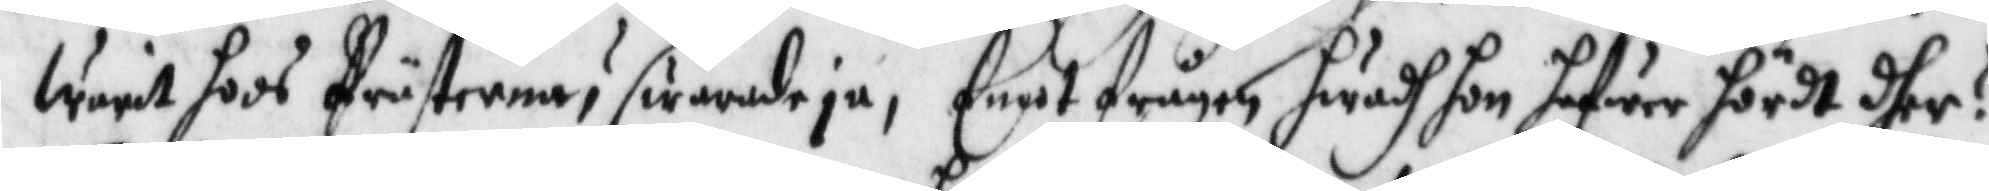Warit hoos Prästerna? swarade ja, Enatfrgan hwadh hon hafwer hördt dher?
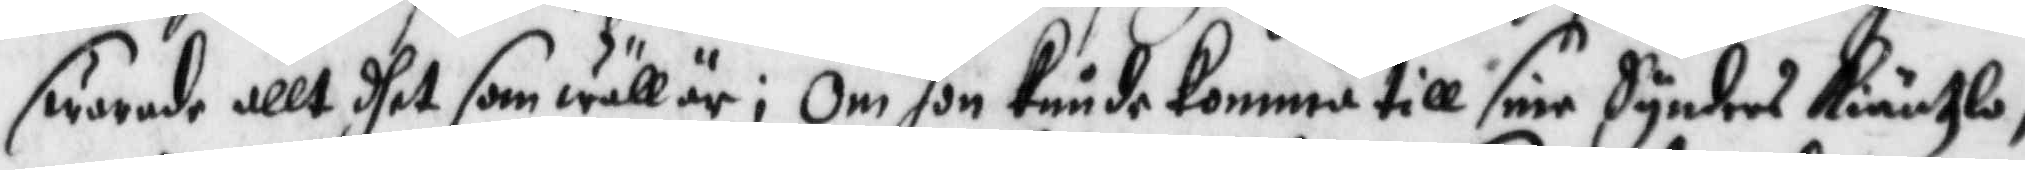swarade allt dhet som wäll är; om hon Kunde Komma till sine Synders Kiäntzla,
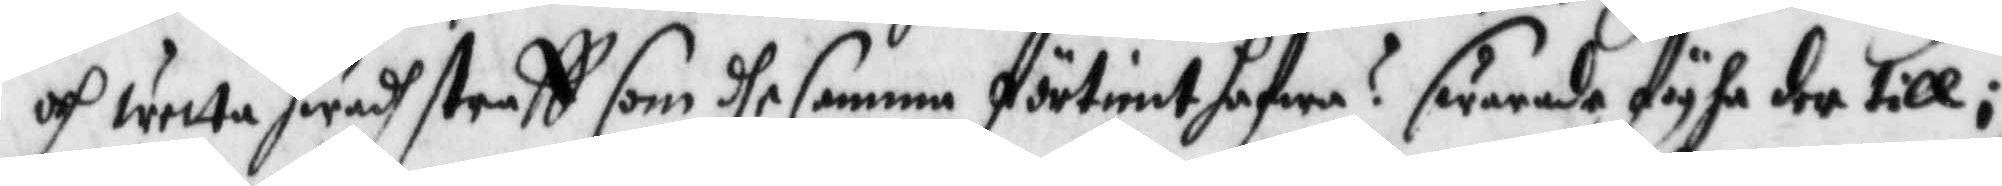och wetta hwadh straff som dhe samma förtient hafwa? swarade fyhn der till;
